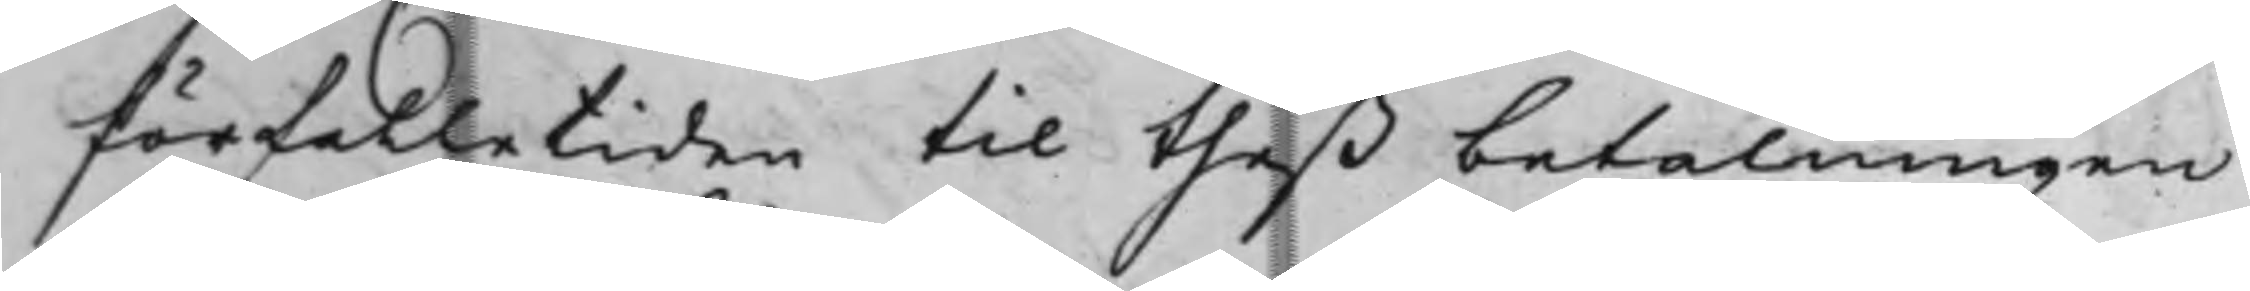förfalletiden till theß betalningen
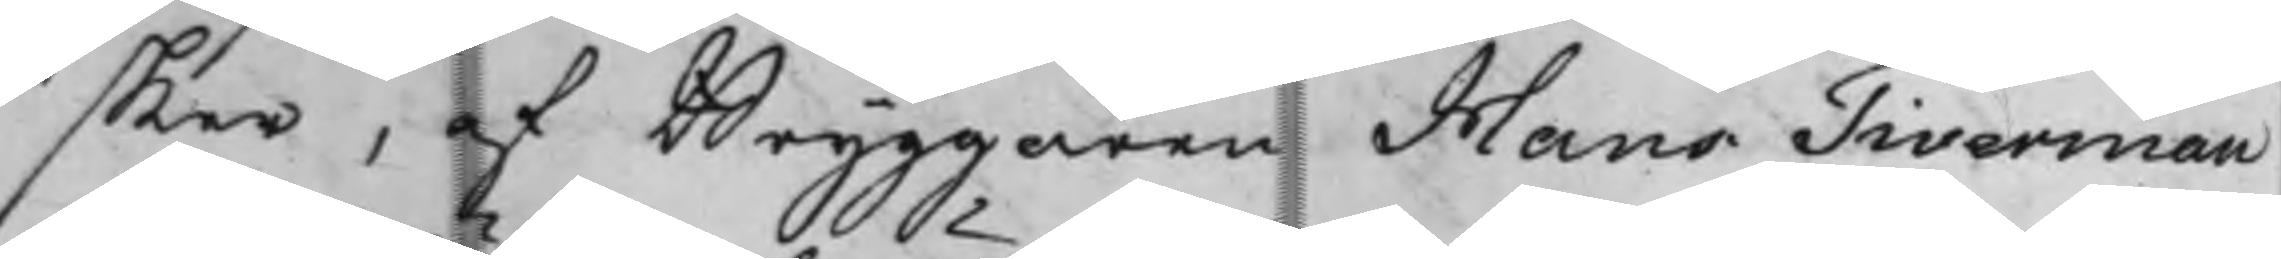sker, af Bryggaren Hans Tiverman
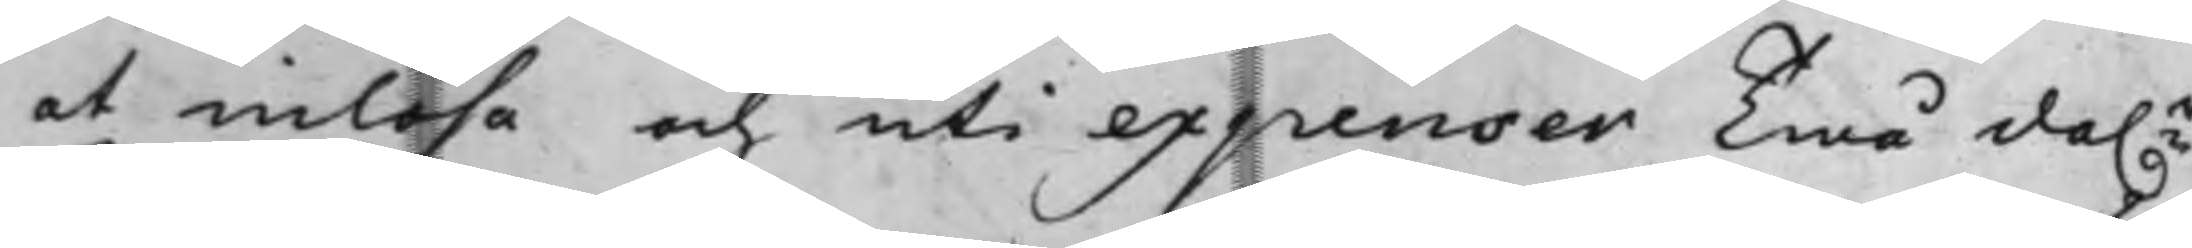at inlösa och uti expenser Twå da.r
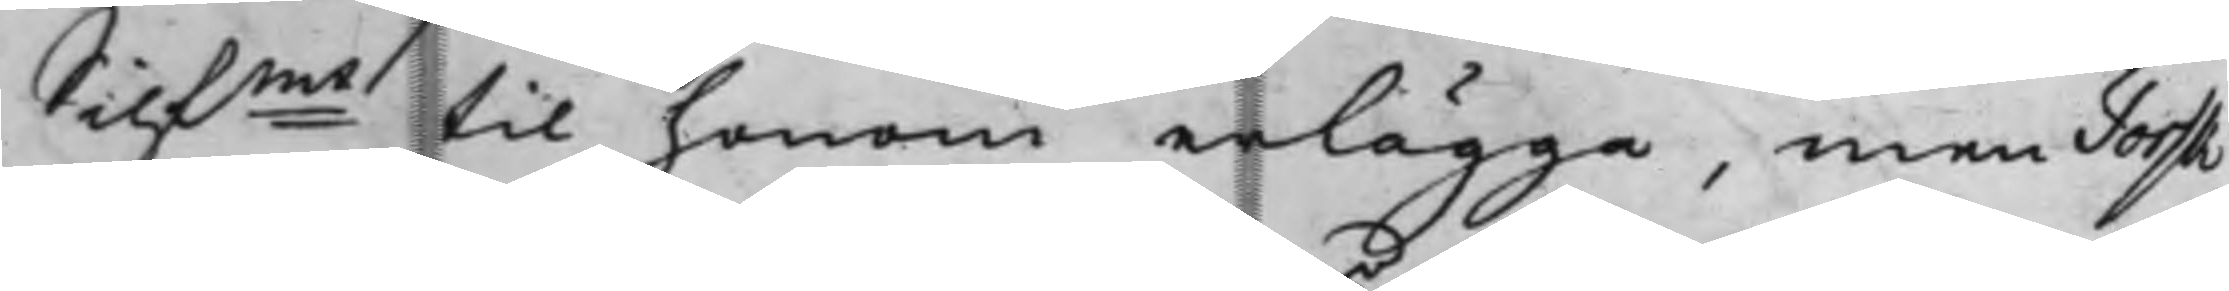Silfmt til honom erlägga, men Torsk,
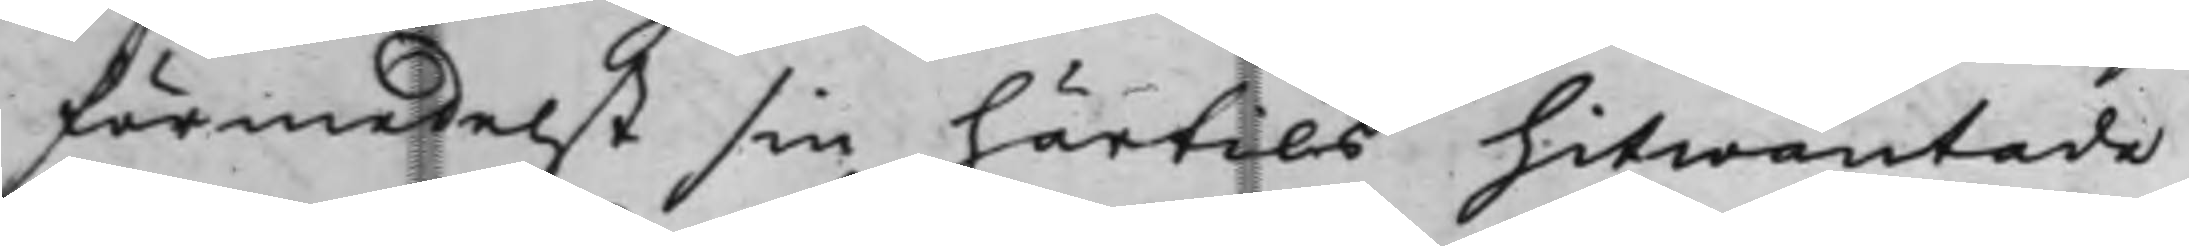förmedelst sin härtils hitwäntade
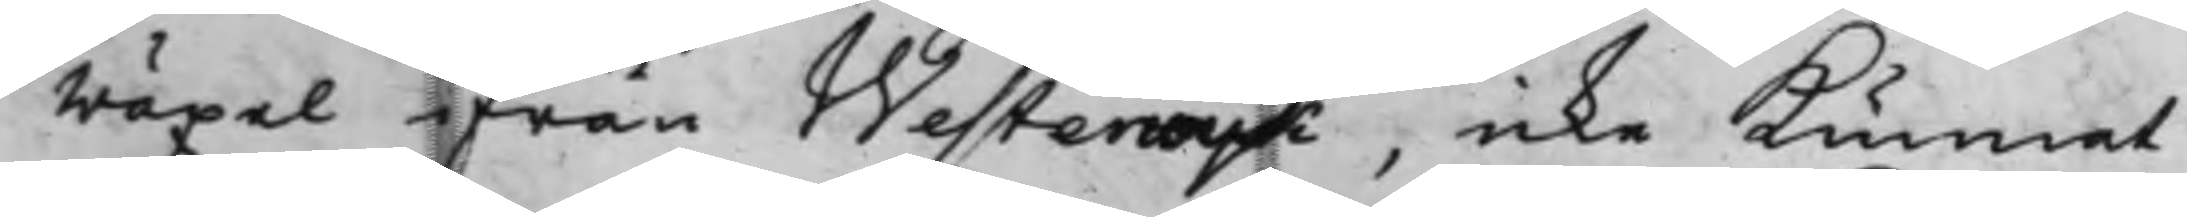wäxel ifrån Westerwijk, icke kunnat
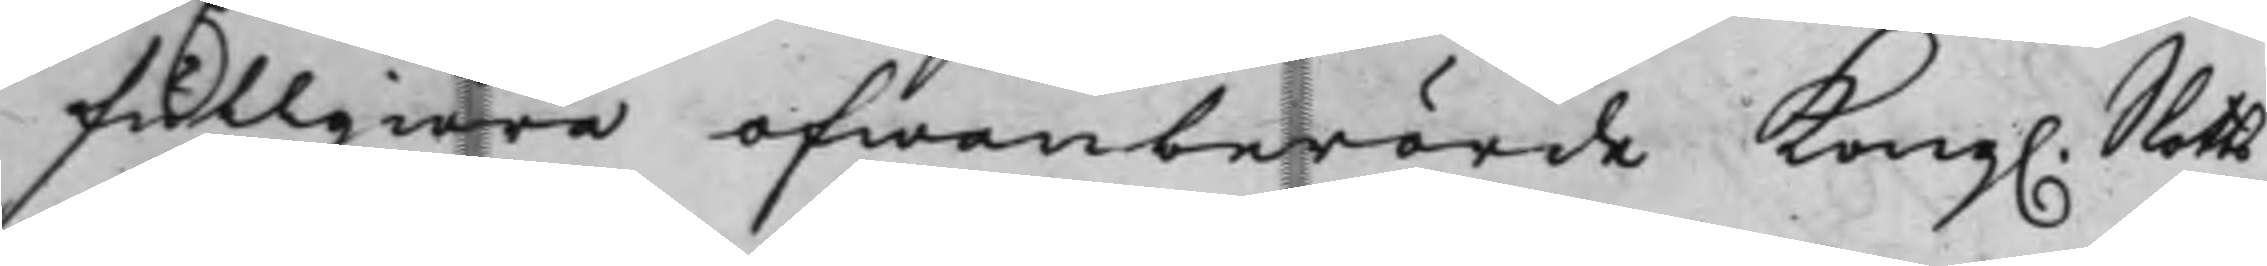Fullgiöra ofwanberörde Kong. Slotts¬
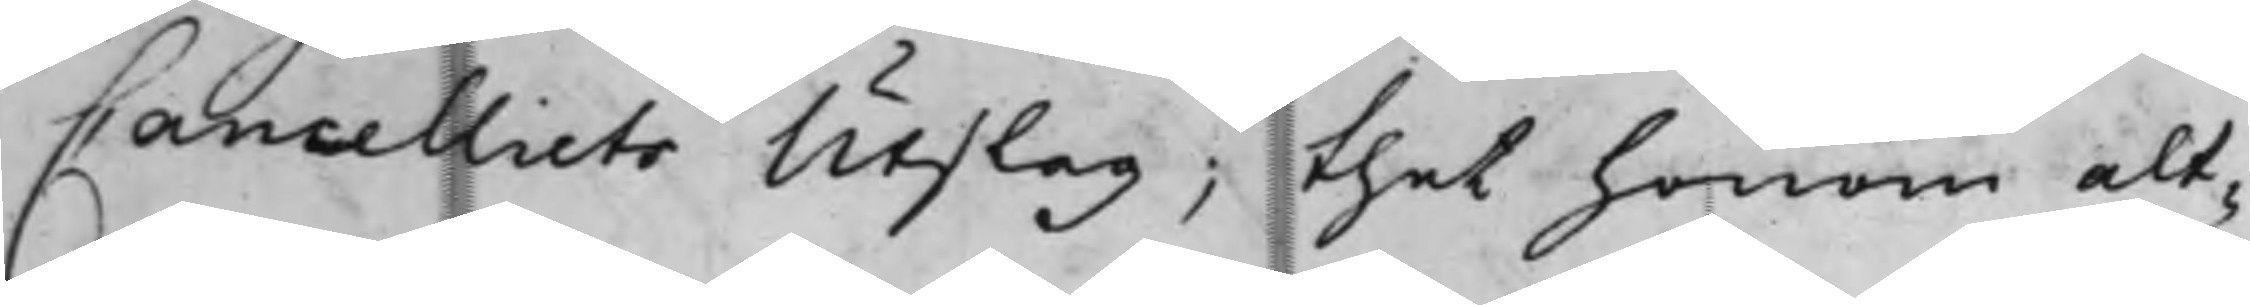Cancelliets Utslag; thet honom alt¬
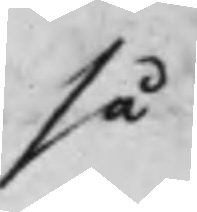så
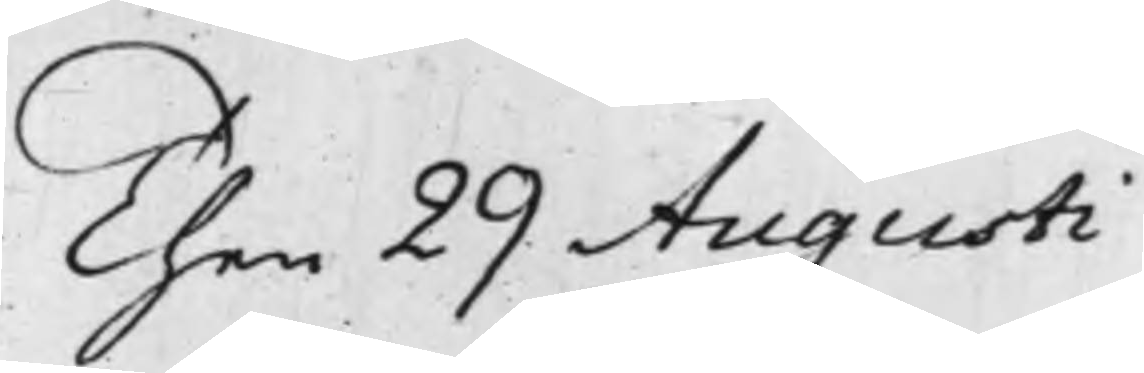Then 29 Augusti
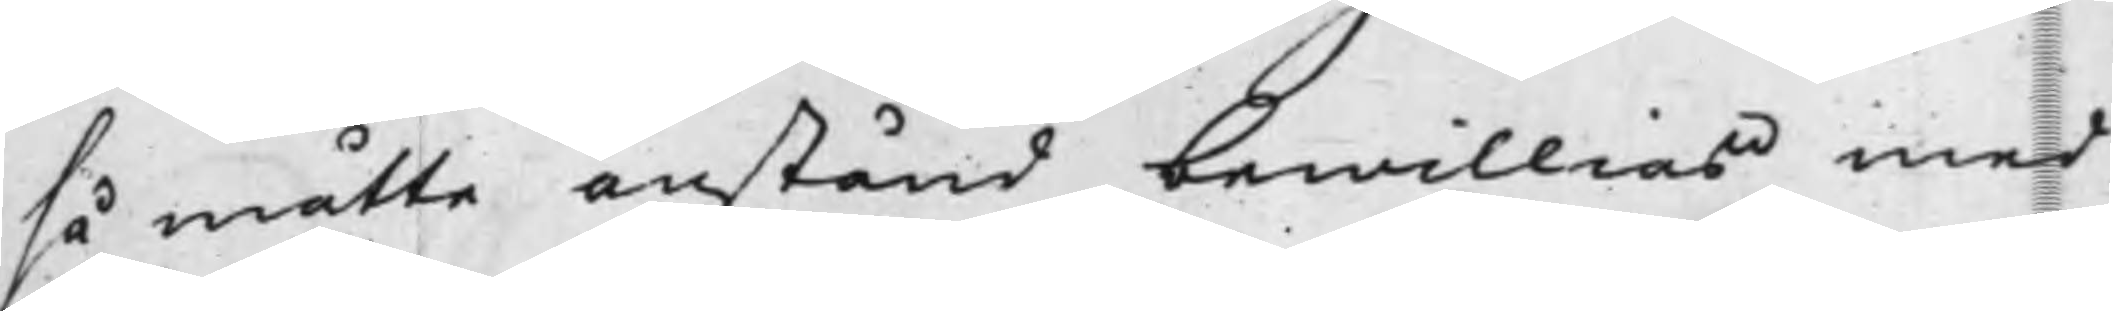så måtte anstånd bewillias med
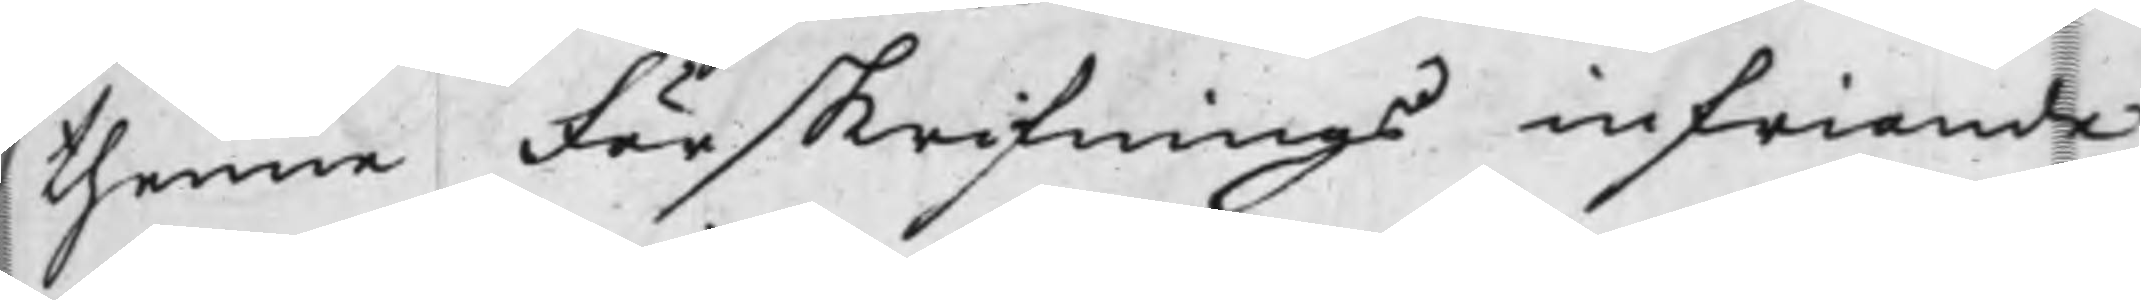thenne Förskrifnings infriande
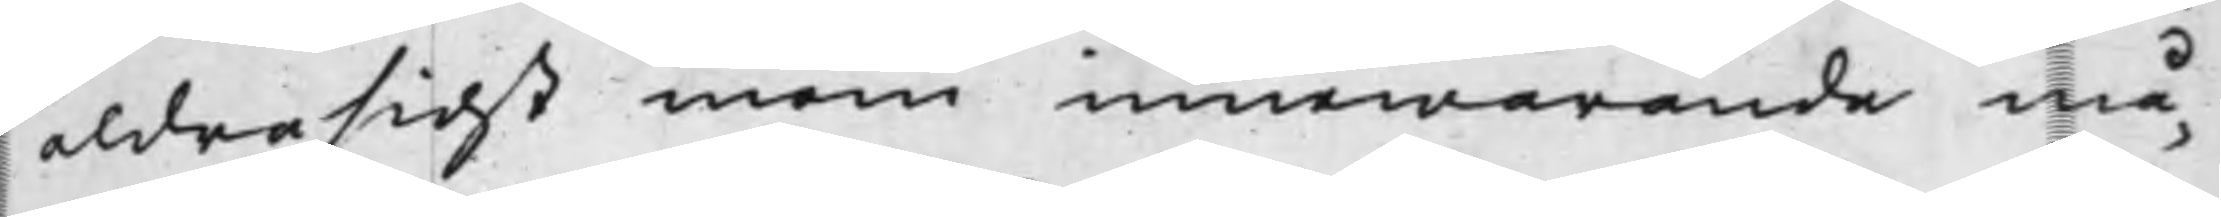aldrasidst inom innewarande må¬
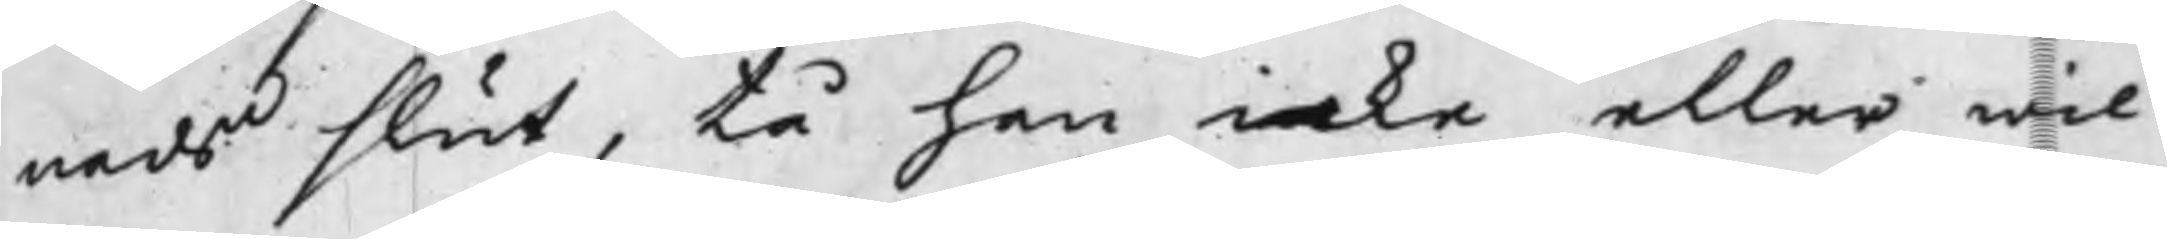nads slut, tå han icke eller wil
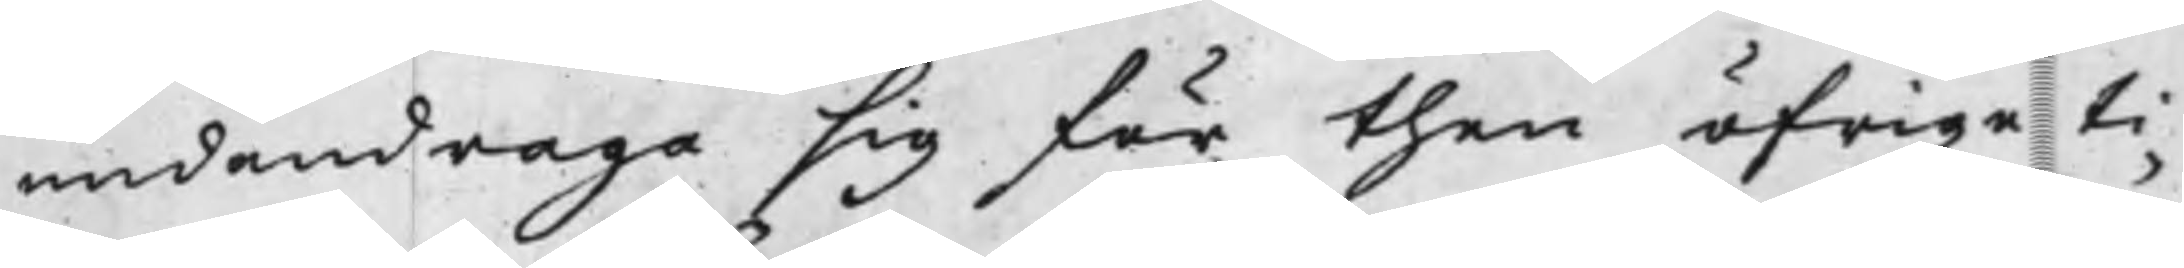undandraga sig för then öfrige ti¬
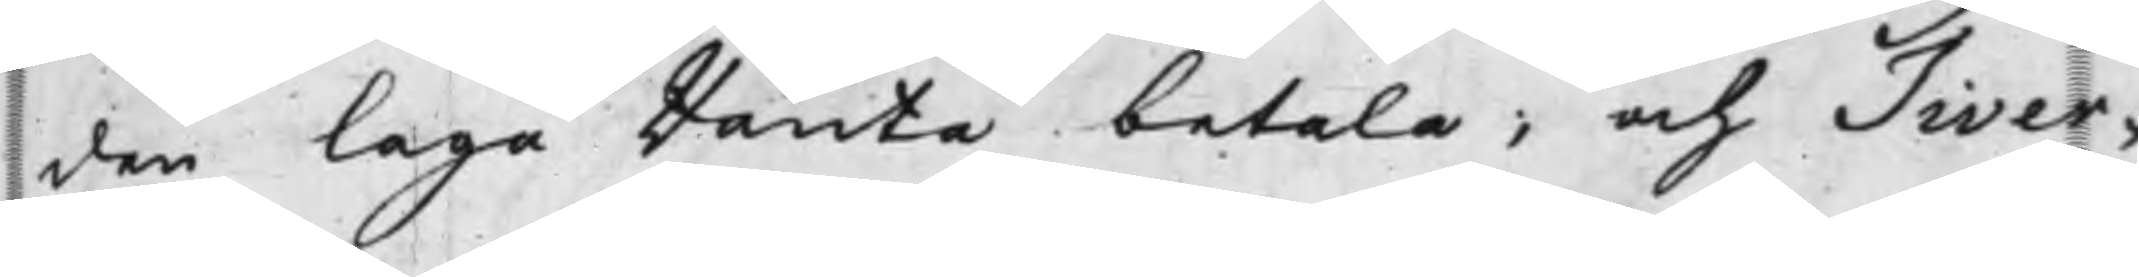den Laga Ränta betala; och Tiver¬
